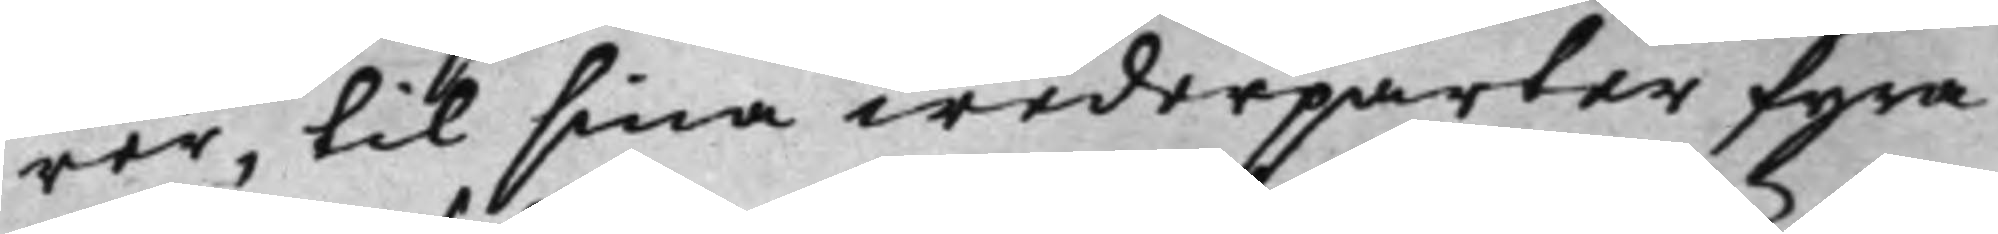rer, til sina wederparter fyra
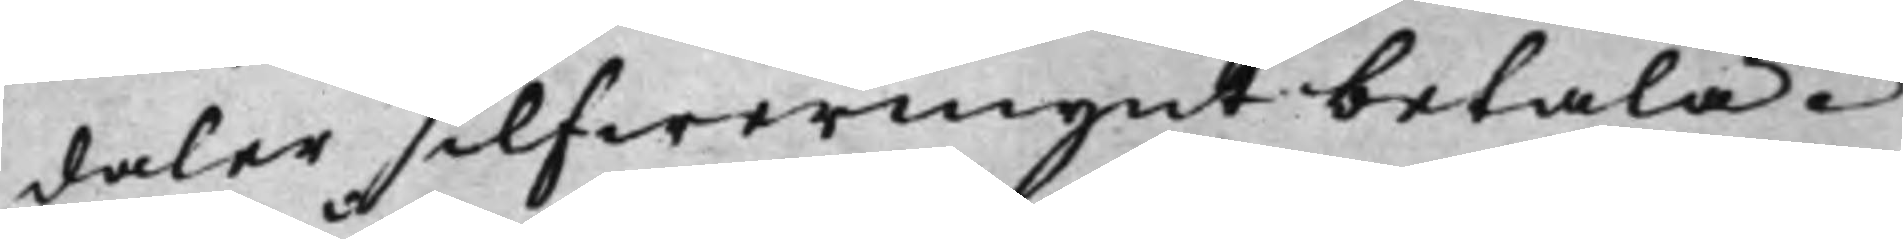daler silfwermynt betala.
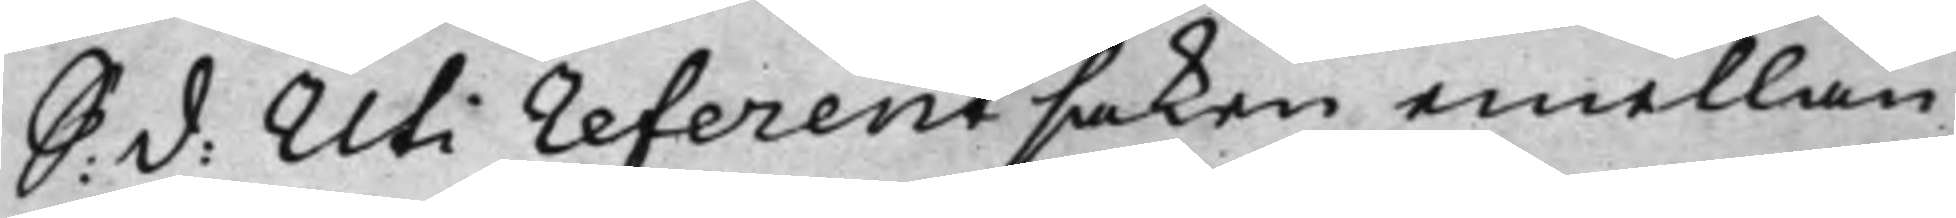S: d: Uti referentsaken emellan 
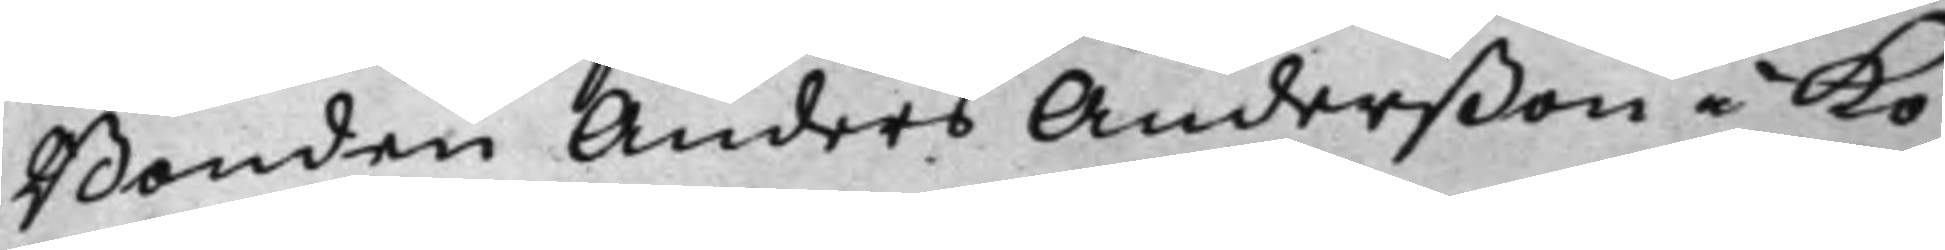Bonden Anders Anderßon i Kö¬
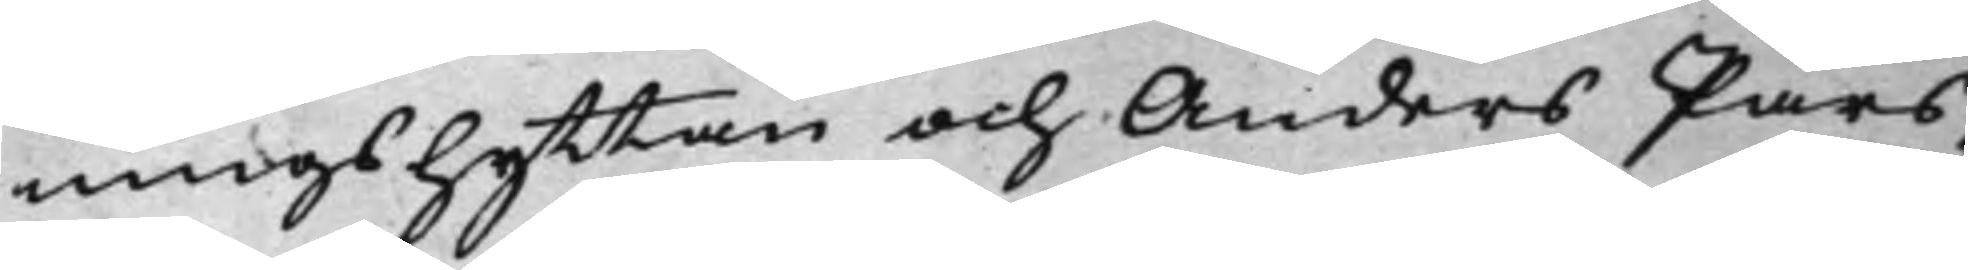ningshyttan och Anders Pärs¬
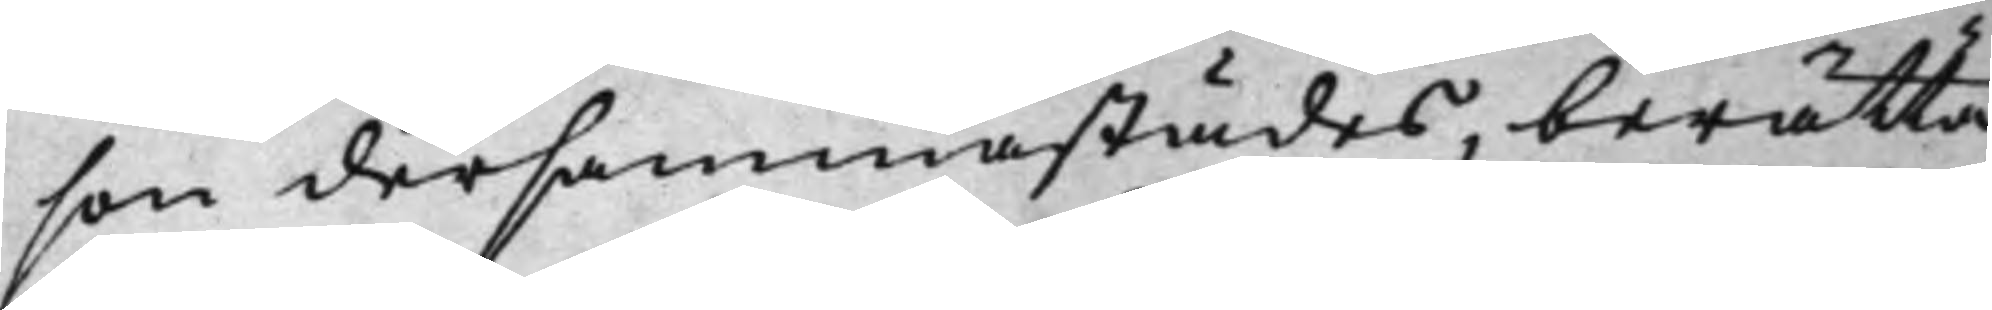son dersammastädes, berätta¬
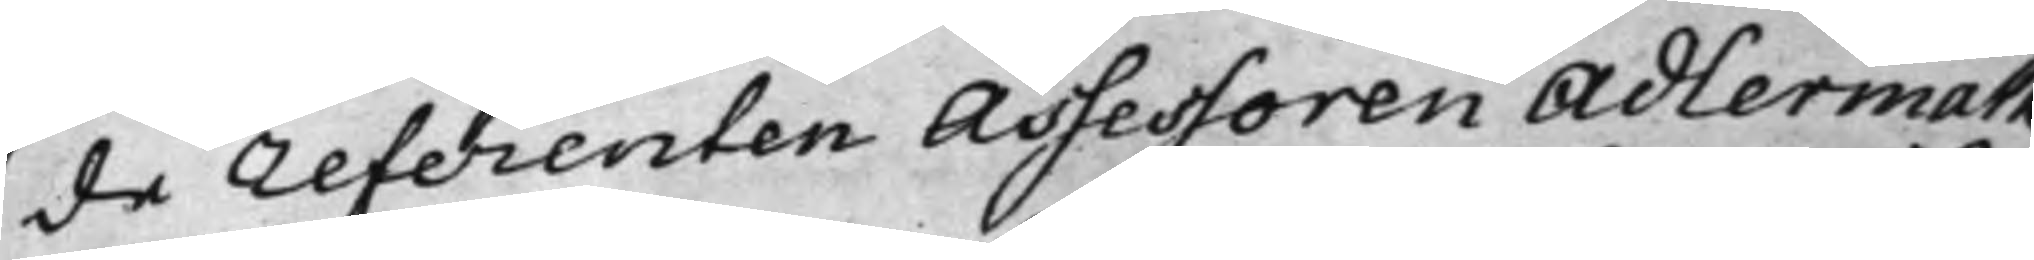de referenten Assessoren Adlermark
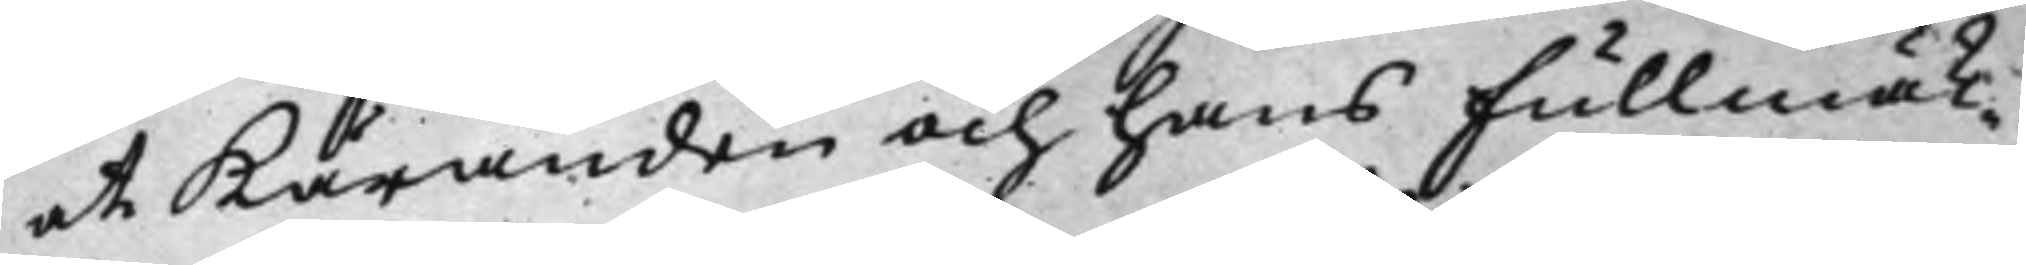at Käranden och hans fullmäk¬
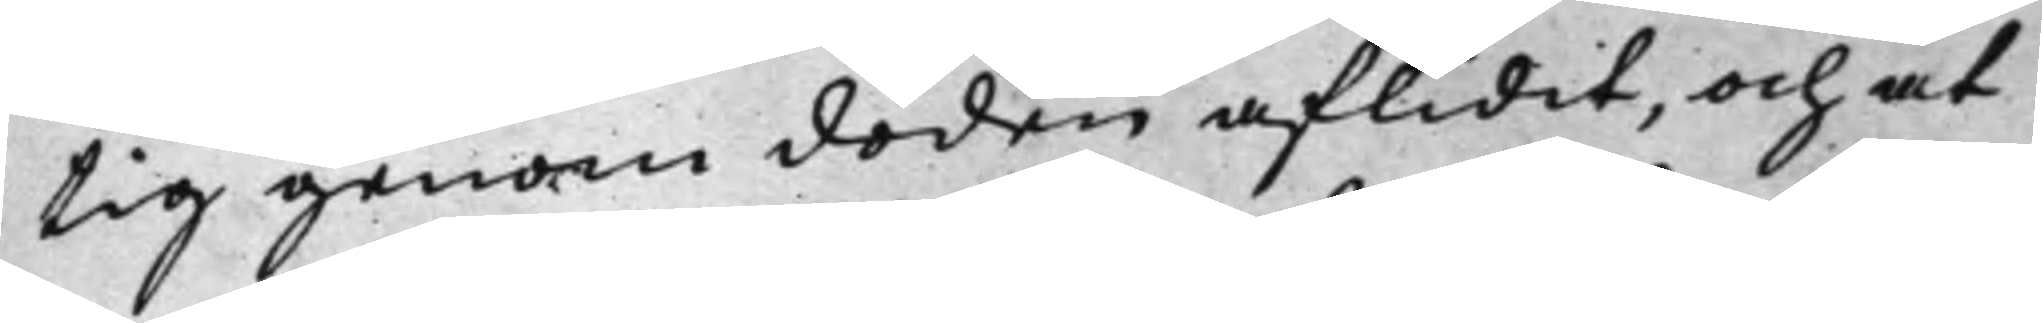tig genom döden aflidit, och at
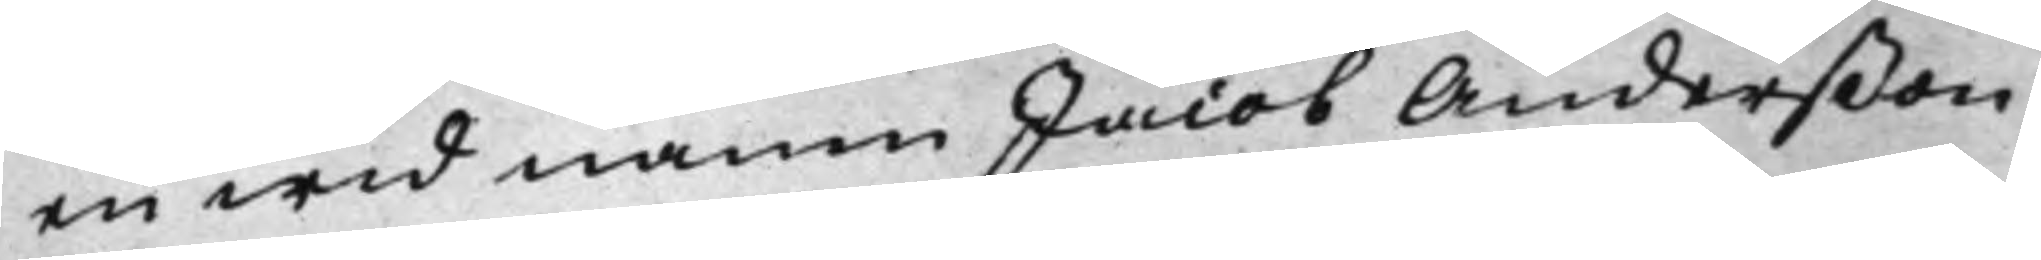en wid namn Jacob Anderßon
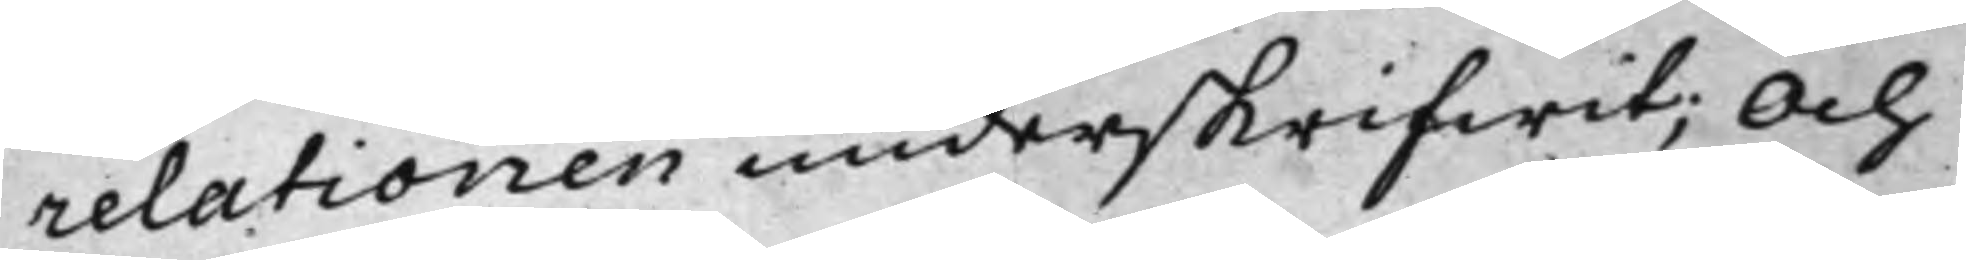relationen underskrifwit; Och
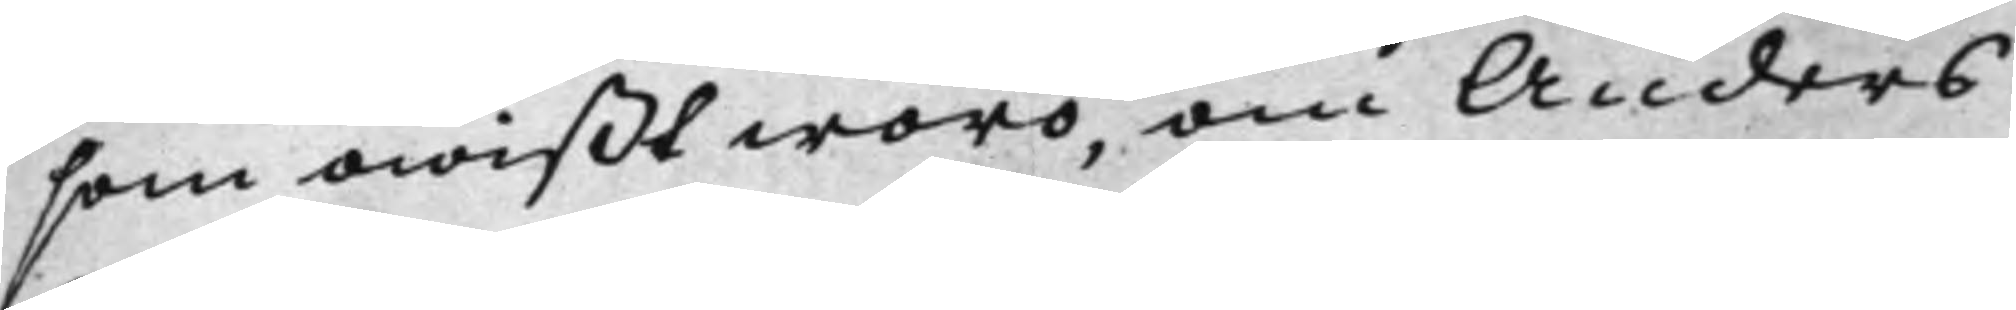som owißt woro, om Anders
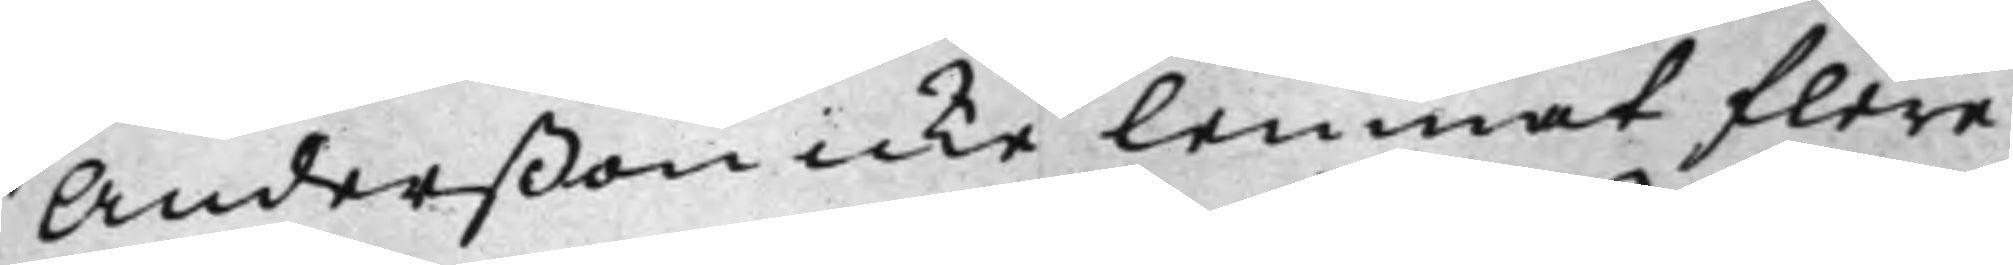Anderßon icke lemnat flere
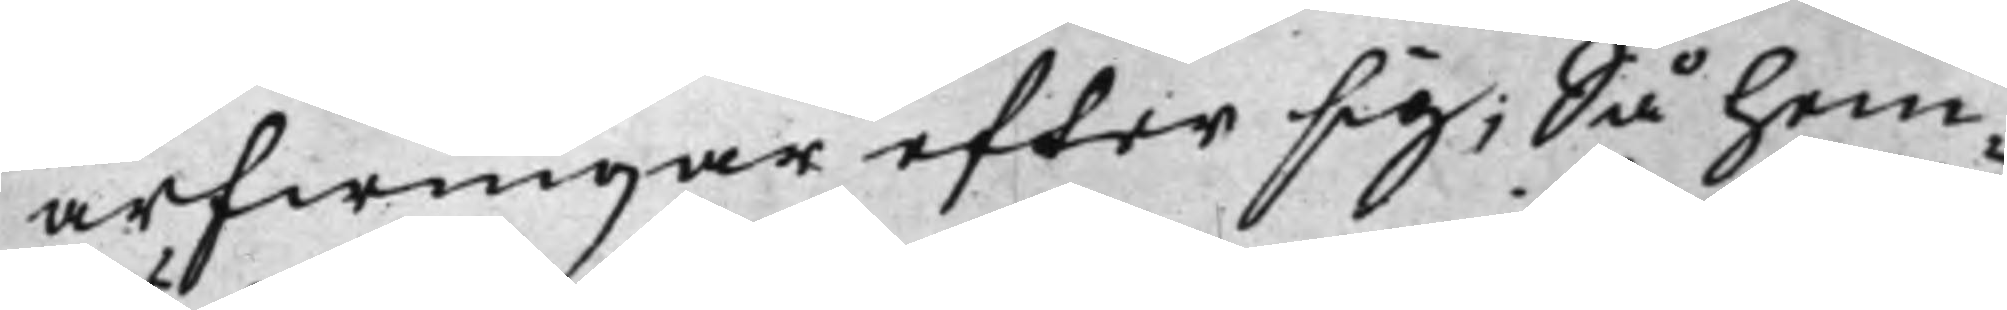arfwingar efter sig; Så hem¬
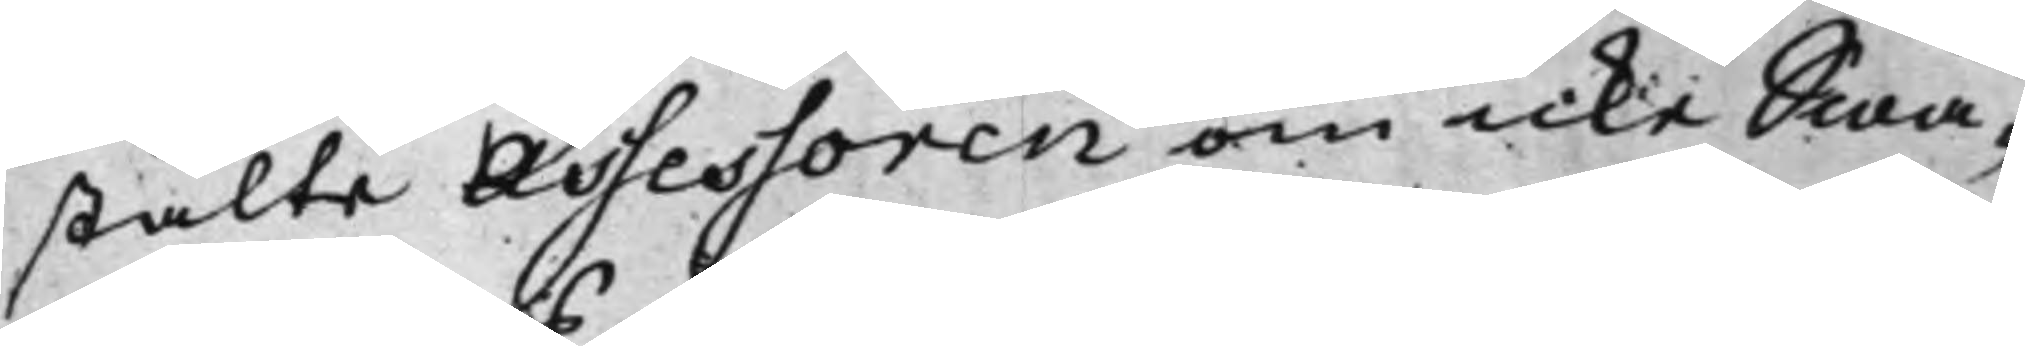stälte Assessoren om icke Swa¬
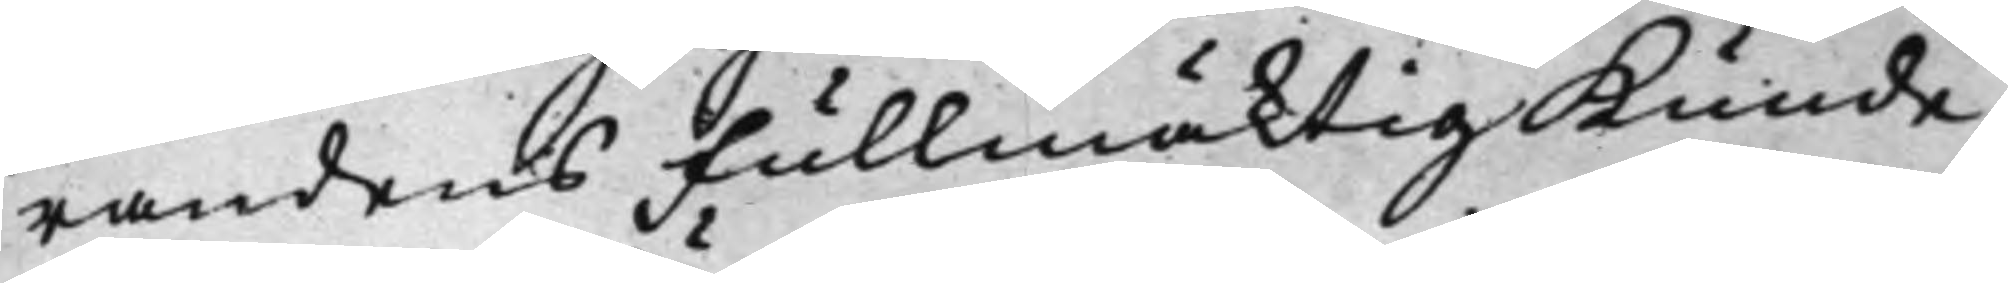randens Fullmäktig Kunde
